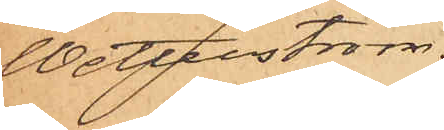Wetterström.
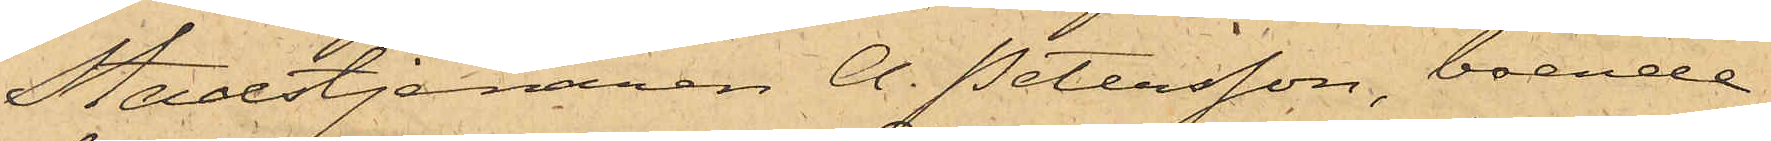Stadstjenaren A. Petersson, boende
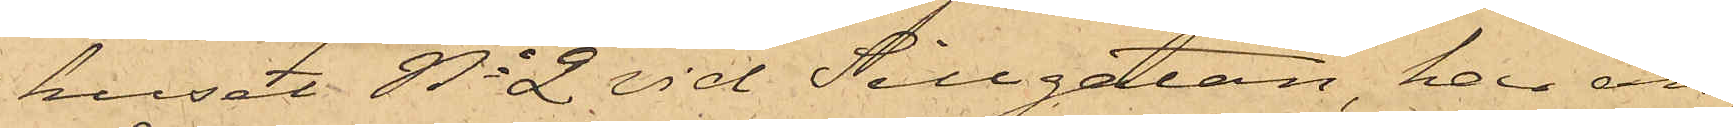huset No 2 vid Sillgatan, har an¬
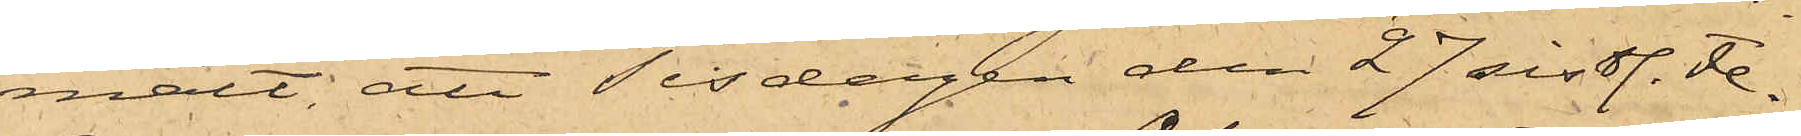mält: att Tisdagen den 27 sistl. Fe¬
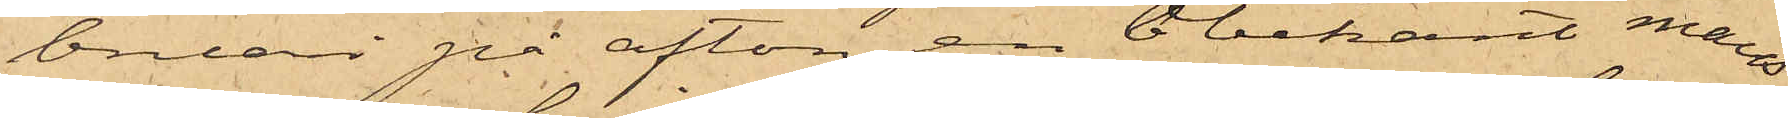bruari på afton en obekant mans¬
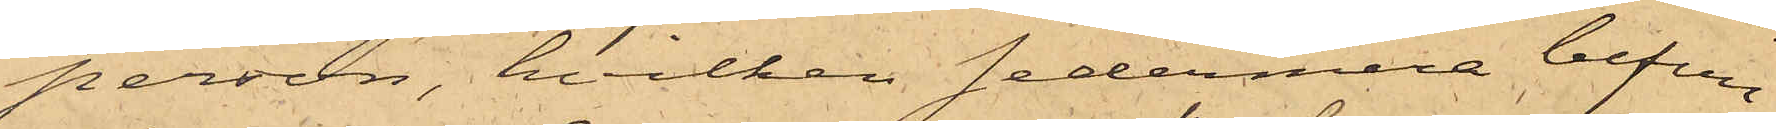person, hvilken sedermera befun¬
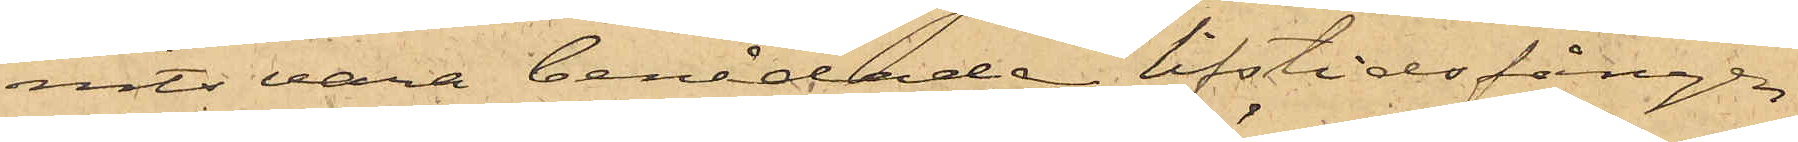nits vara benådade lifstidsfången
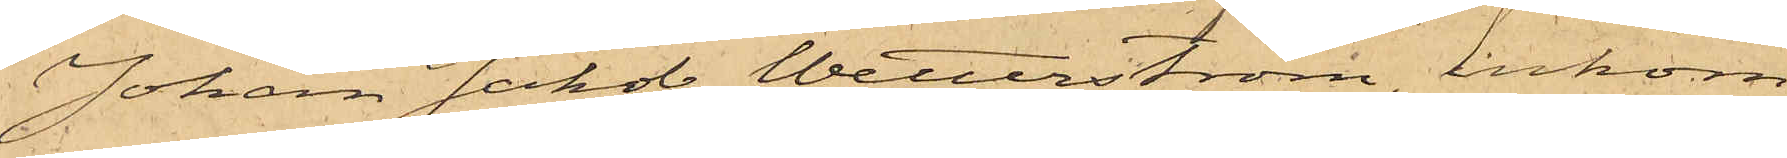Johan Jakob Wetterström, inkom¬
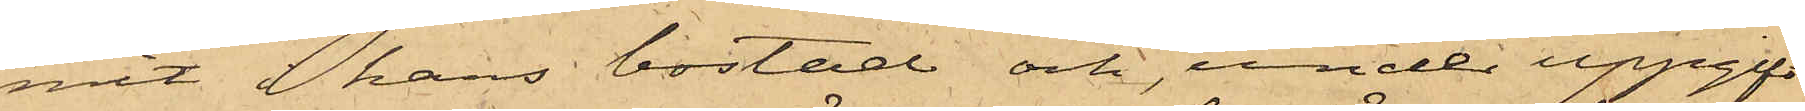mit i hans bostad och under uppgift
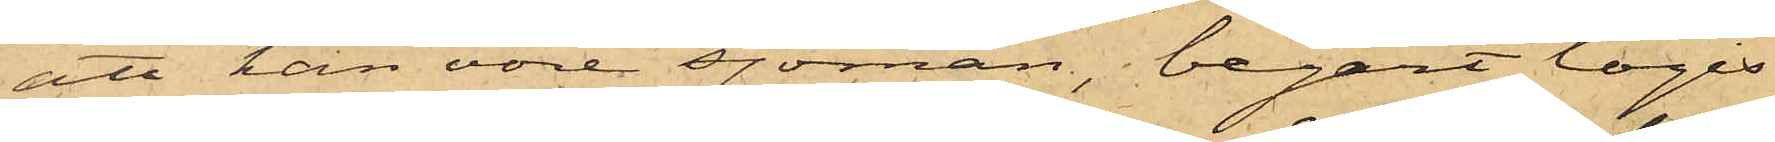att han vore sjöman, begärt logis
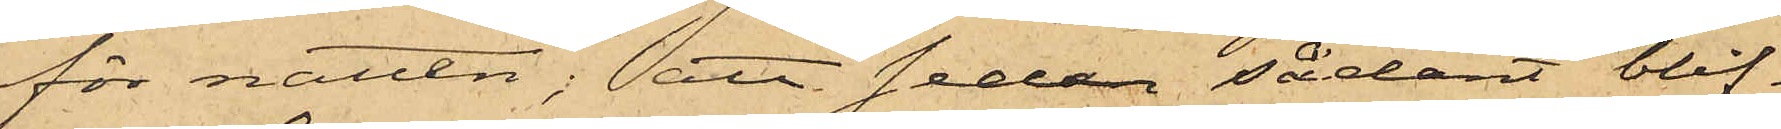för natten; att sedan sådant blif¬
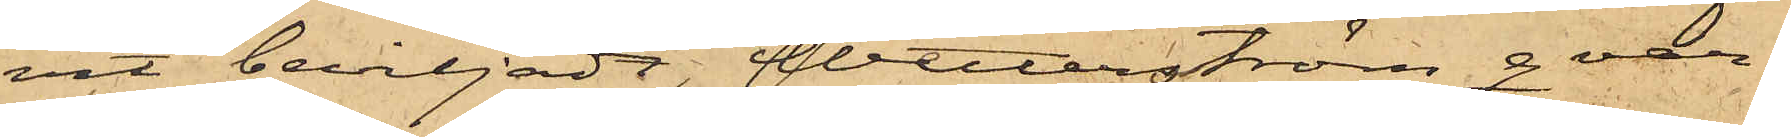vit beviljadt, Wetterström qvar¬
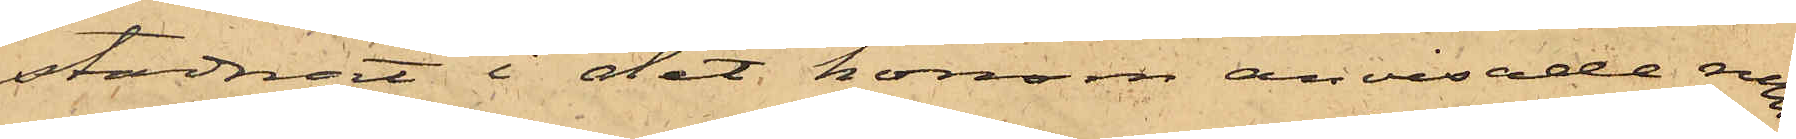stadnat i det honom anvisade rum¬
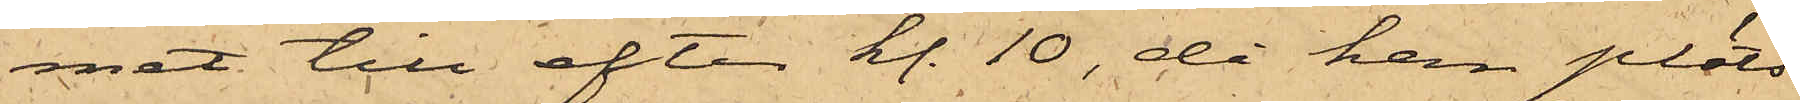met till efter kl. 10, då han plöts¬
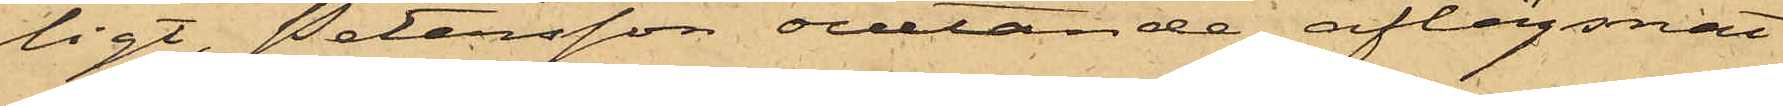ligt, Petersson ovetande, aflägsnat
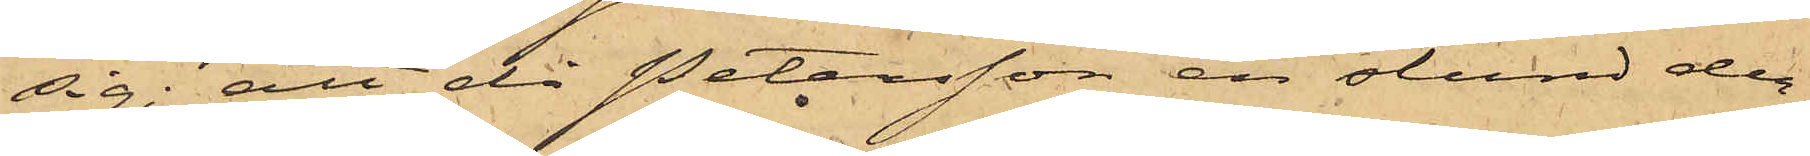sig; att då Petersson en stund der¬
